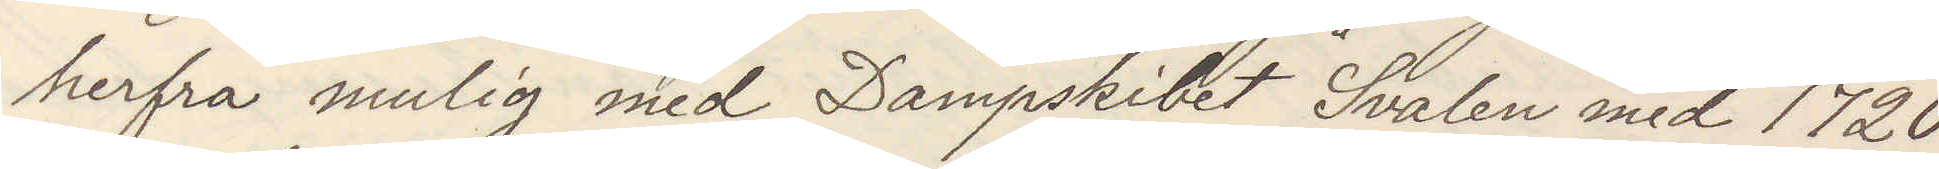herfra mulig med Dampskibet Svalen med 1720
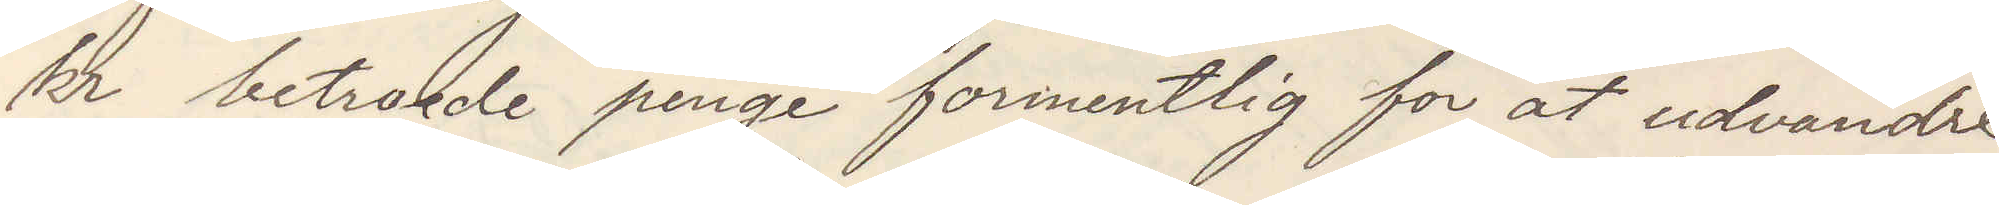kr betraede penge formentlig for att udvandre
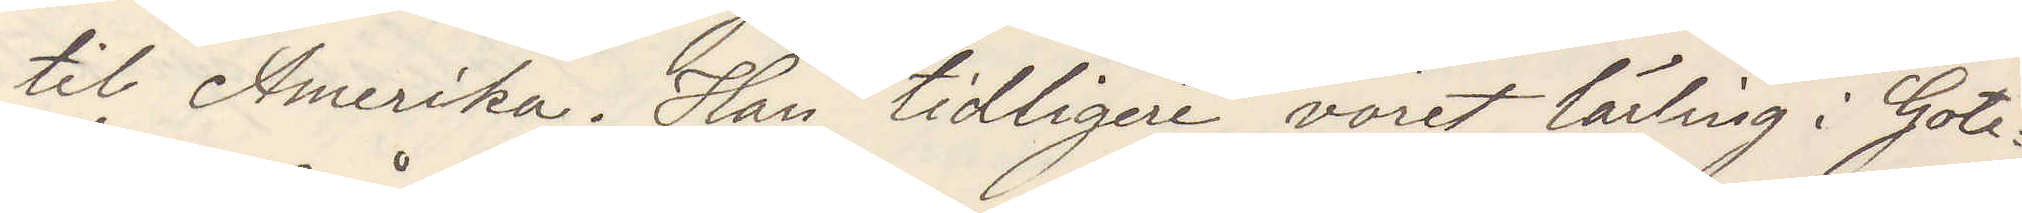til Amerika Han tidligare voret lärling i Gote¬
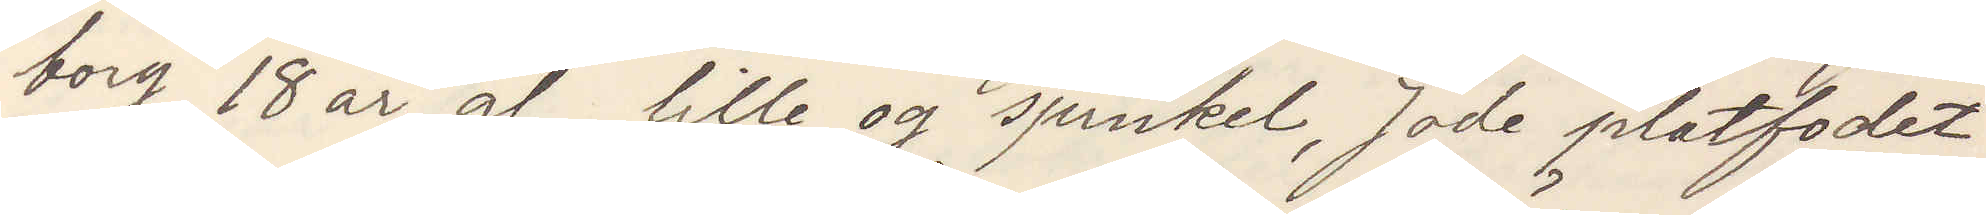borg, 18 år g. lille og spinkel, jöde platfodet
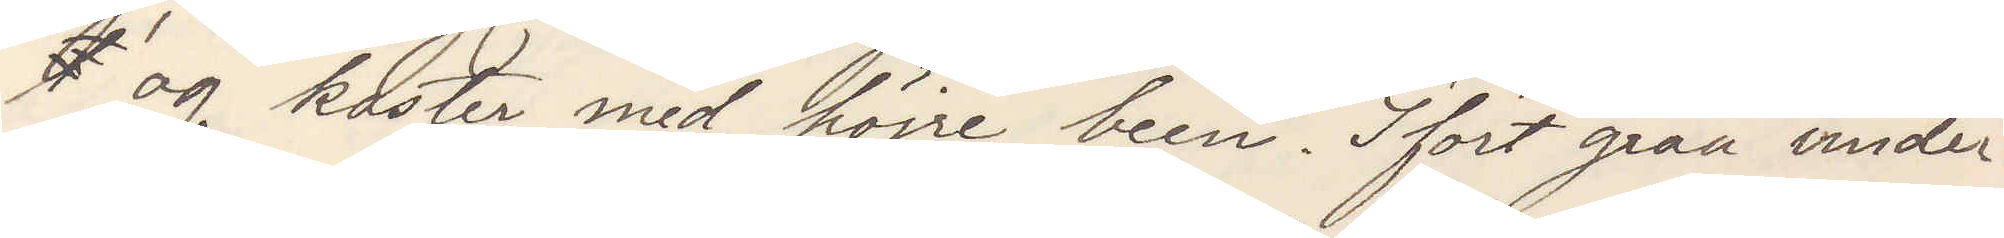t og kaster med höire been  Ifört gråa vinder¬
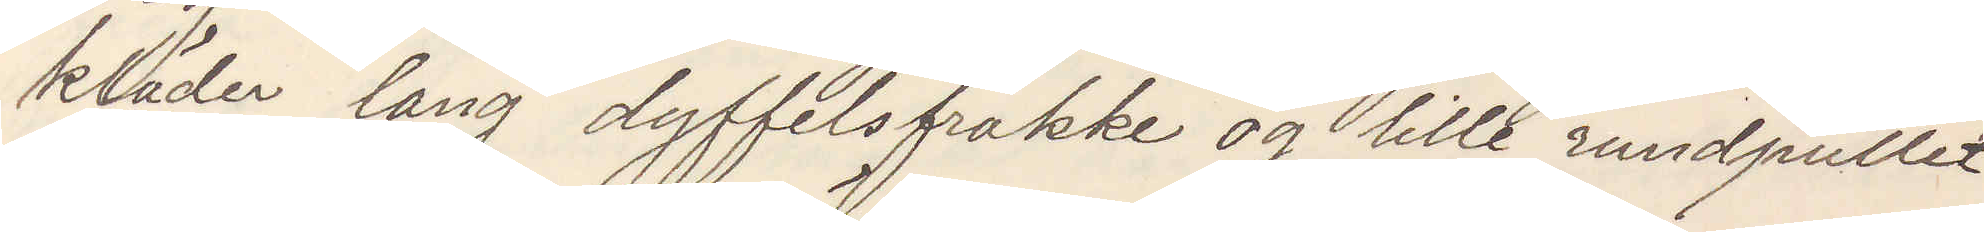kläder lang dyffelfrakke og lille rundpullet
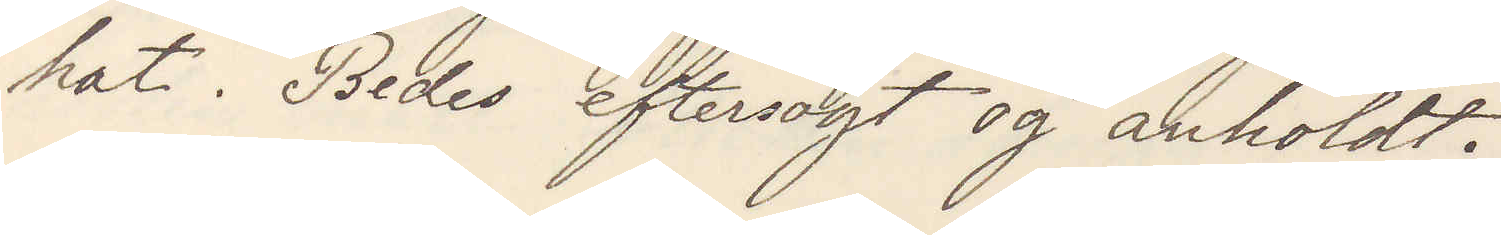hat. Bedes eftersögt og anholdt.
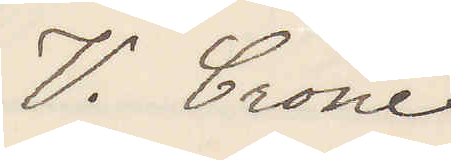V. Crone
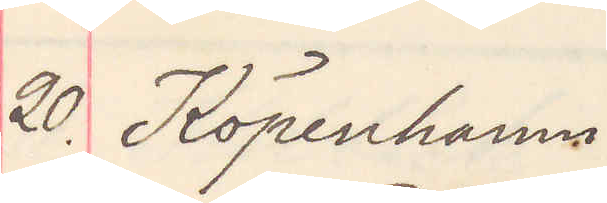20. Köpenhamn
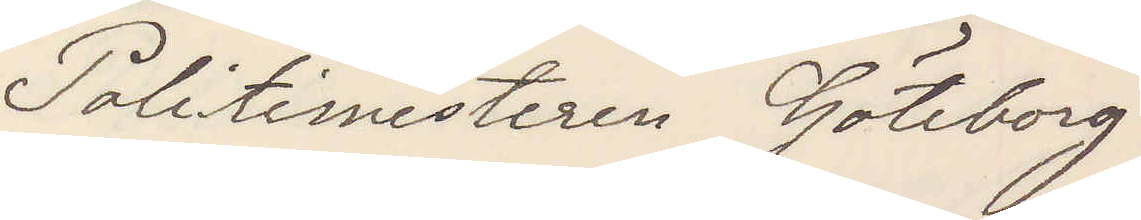Politimesteren Göteborg
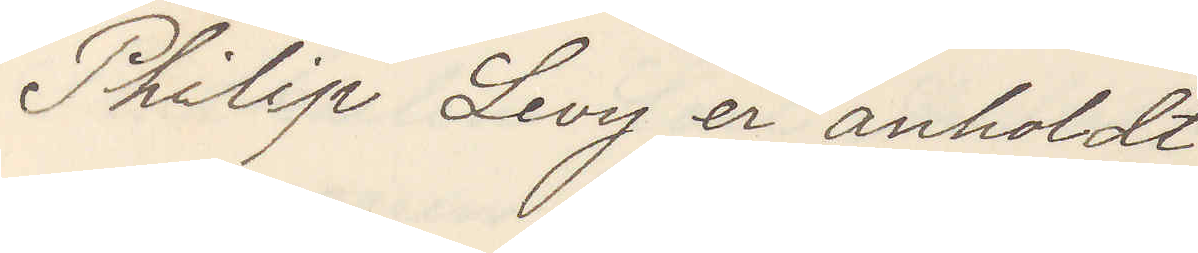Philip Levy er anholdt
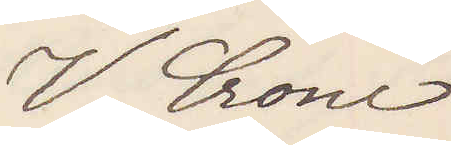V. Crone
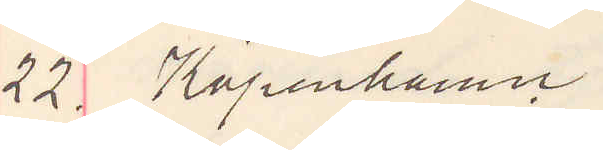22. Köpenhamn
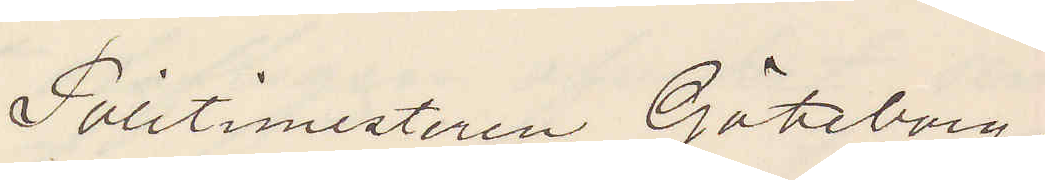Politimesteren Göteborg.
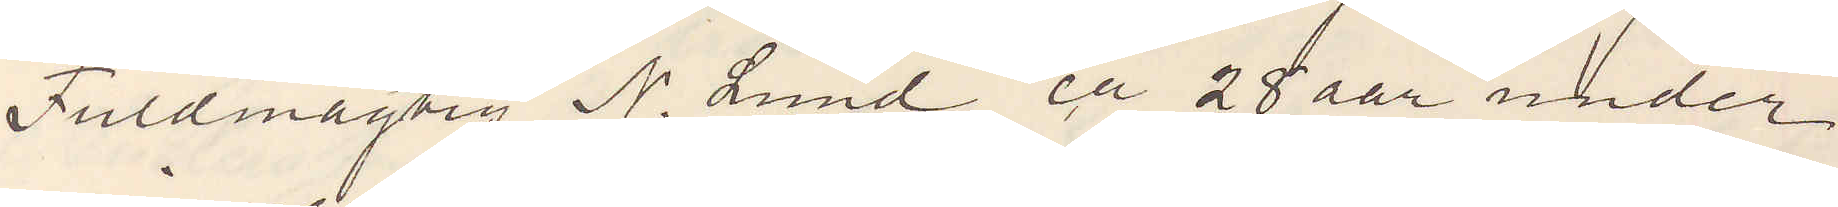Fuldmägtig N. Lund ca 28 aar under
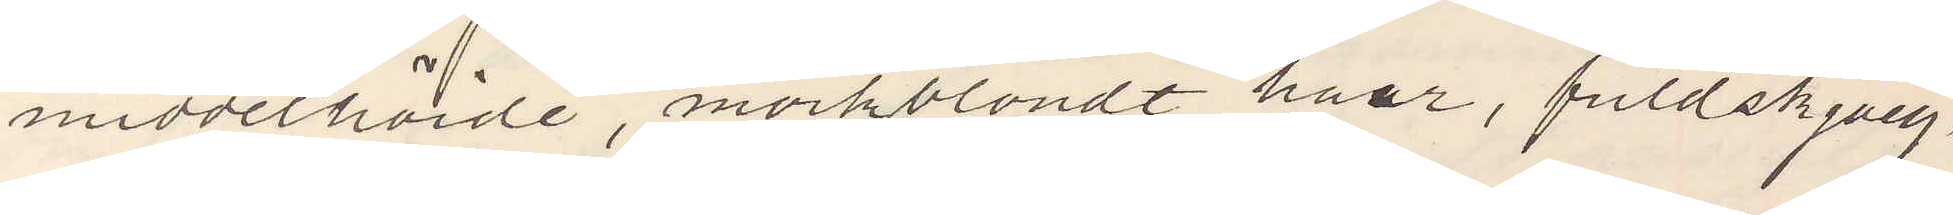middelhöide, mörkblondt haar, fuldskjäeg
